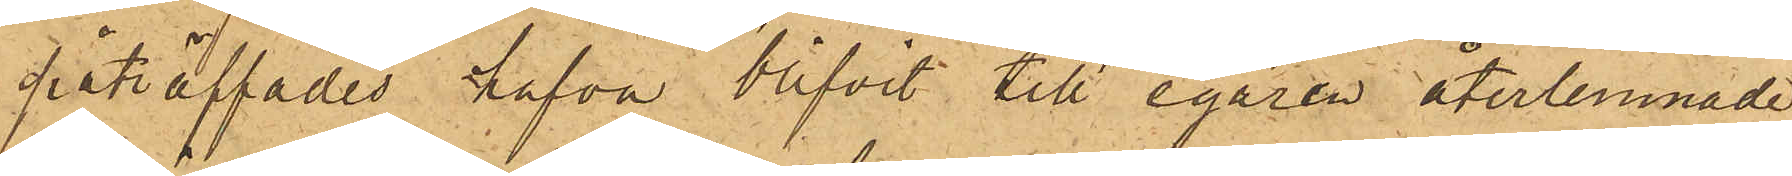påträffades hafva blifvit till egaren återlemnade,
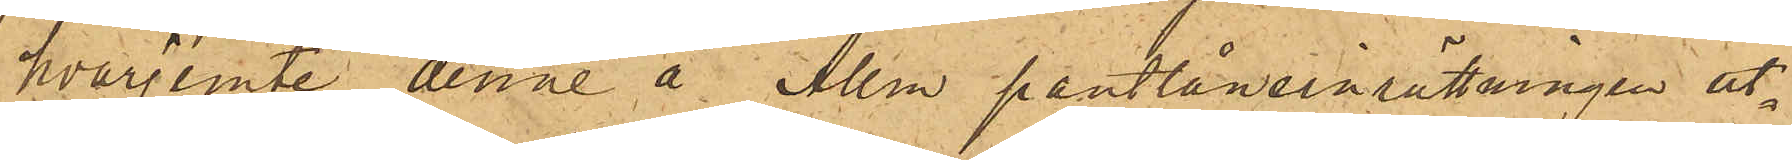hvarjemte denne å Allm. pantlåneinrättningen ut¬
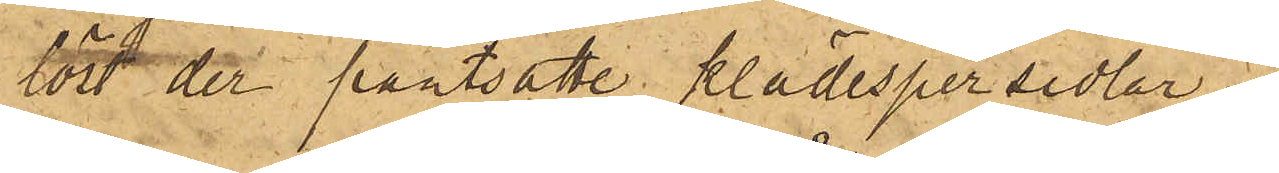löst der pantsatte klädespersedlar.
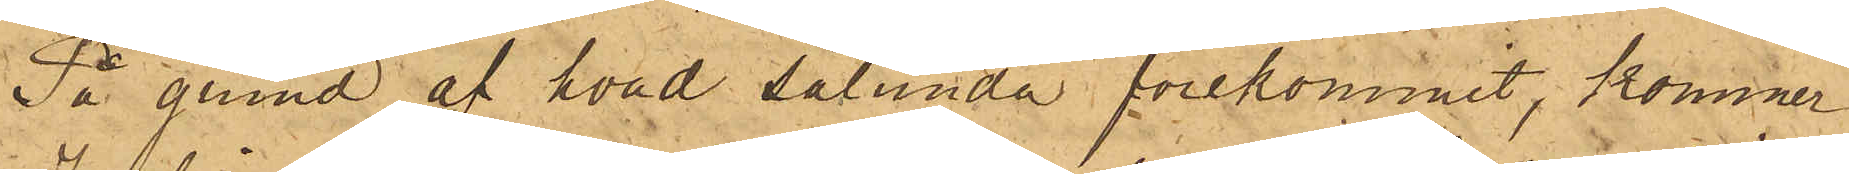På grund af hvad sålunda förekommit, kommer
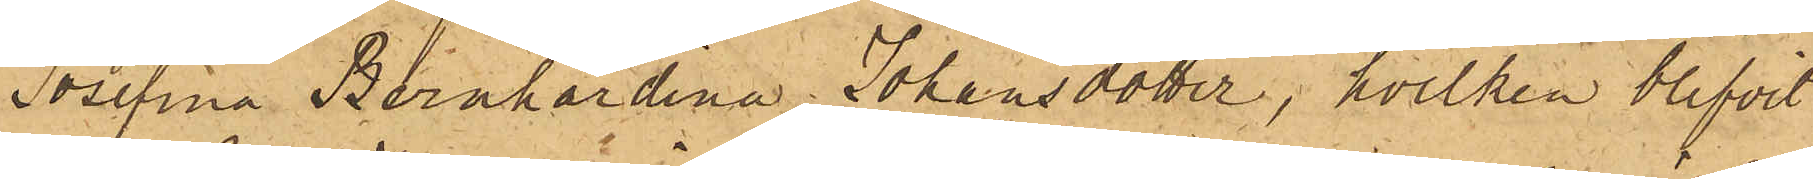Josefina Bernhardina Johansdotter, hvilken blifvit
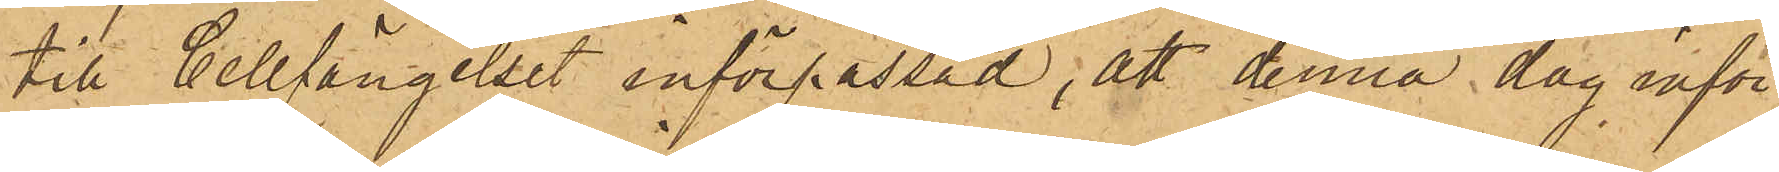till Cellfängelset införpassad, att denna dag inför
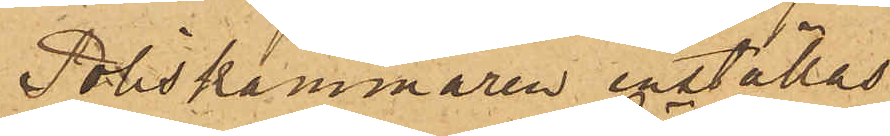Poliskammaren inställas.
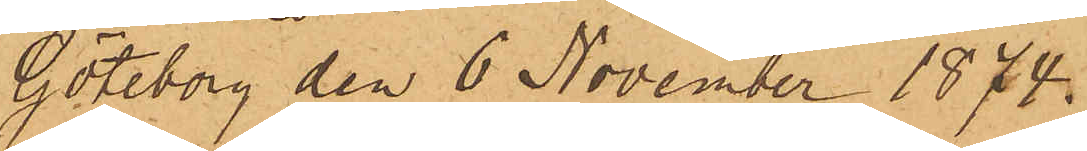Göteborg den 6 November 1874.
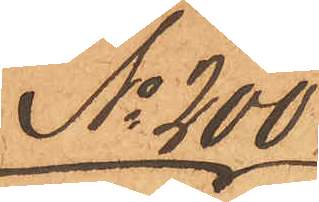No 200
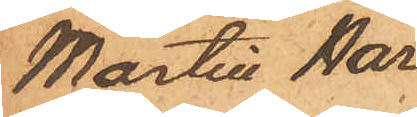Martin Nor¬
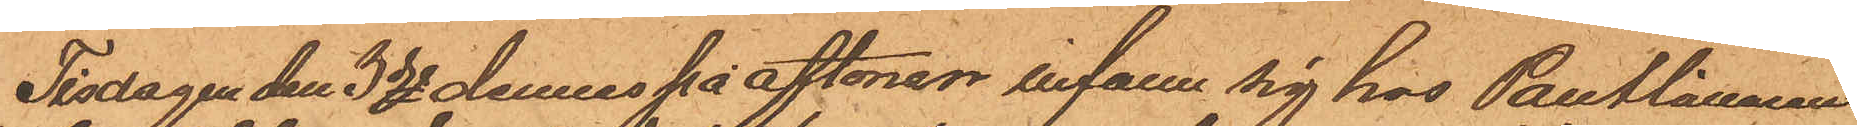Tisdagen den 3dje dennes på aftonen infann sig hos Pantlånaren
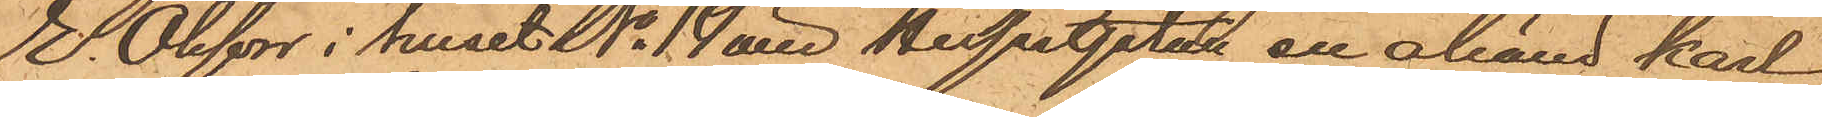E. Olsson i huset No 14 vid Husargatan en okänd karl
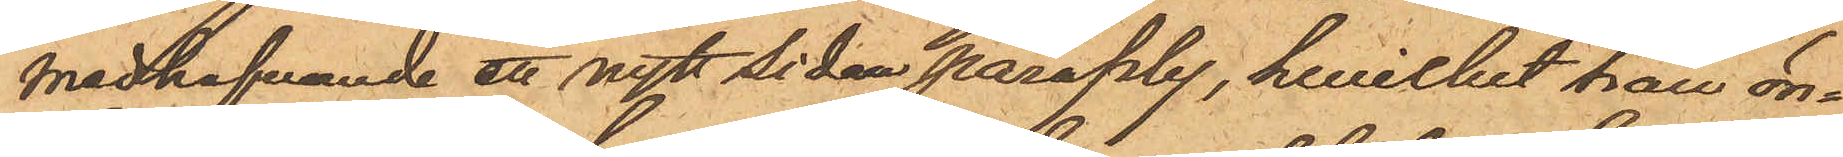medhafvande ett nytt sidenparaply, hwilket han ön¬
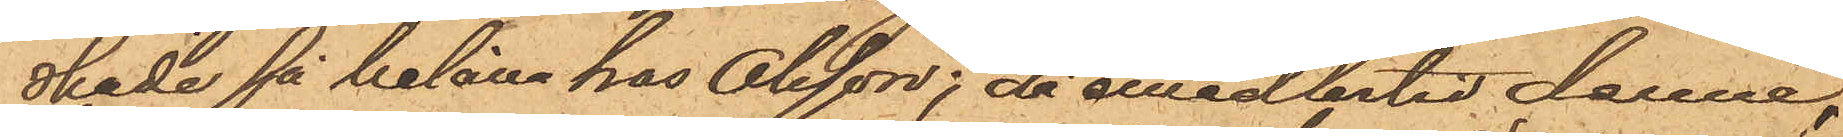skade få belåna hos Olsson; då emedlertid denne,
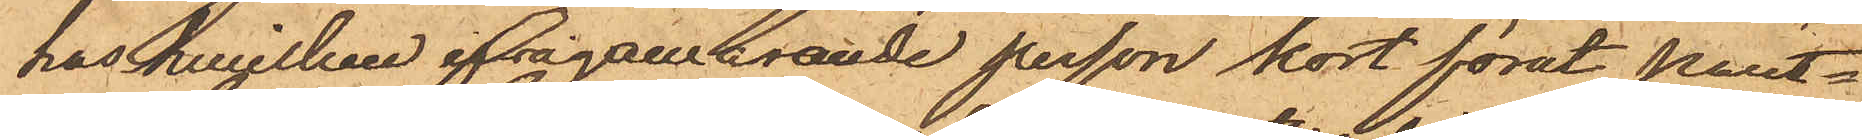hos hvilken ifrågavarande person kort förut pant¬
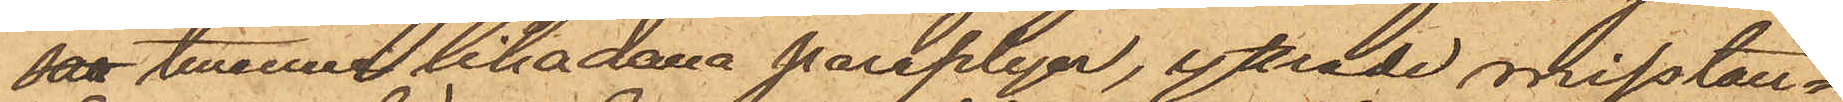satt tvenne likadana paraplyer, yttrade misstan¬
